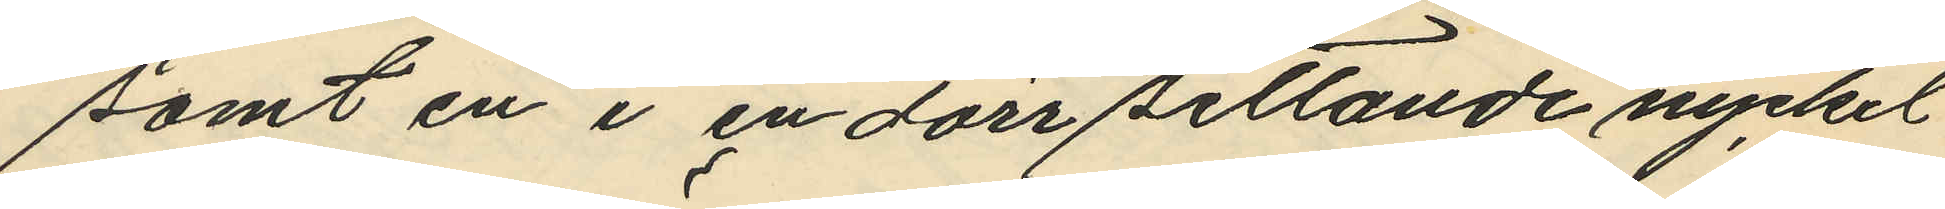samt en i en dörr sittande nyckel
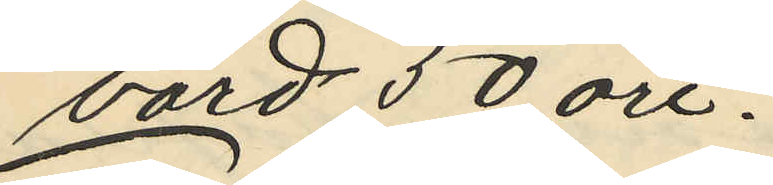värd 50 öre.
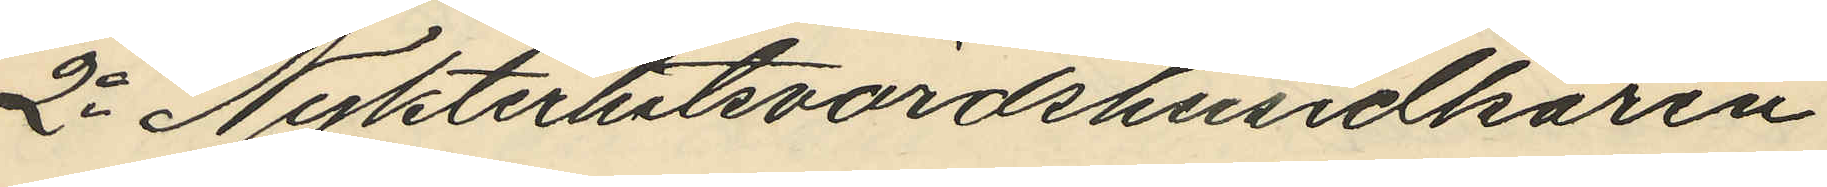2o Nykterhetsvärdshusidkaren
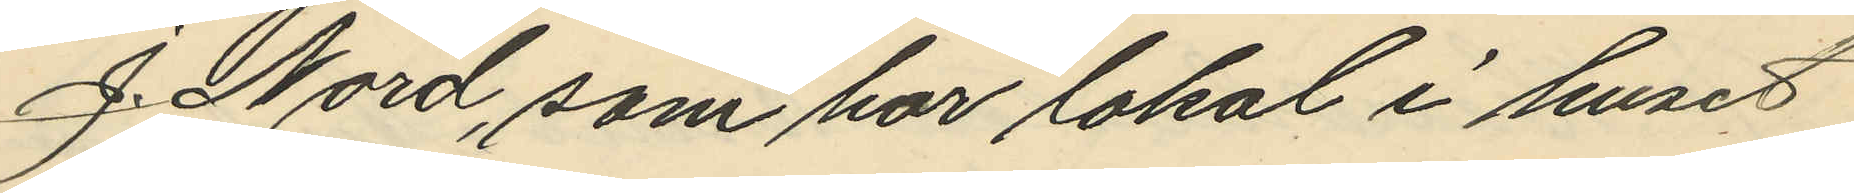J. Nord, som har lokal i huset
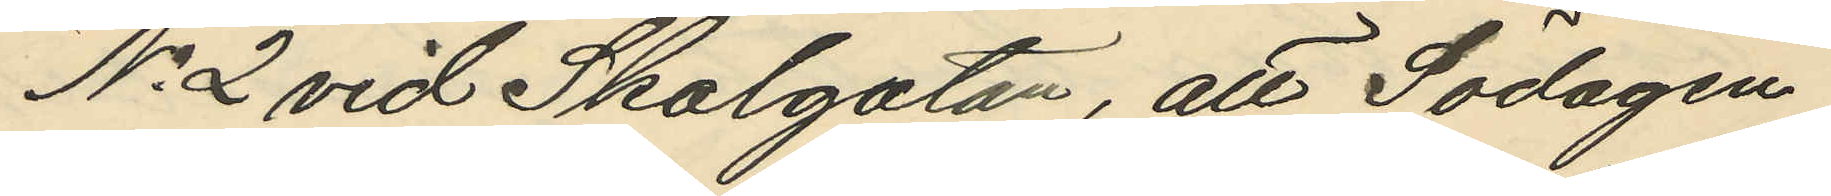No 2 vid Skolgatan, att Södagen
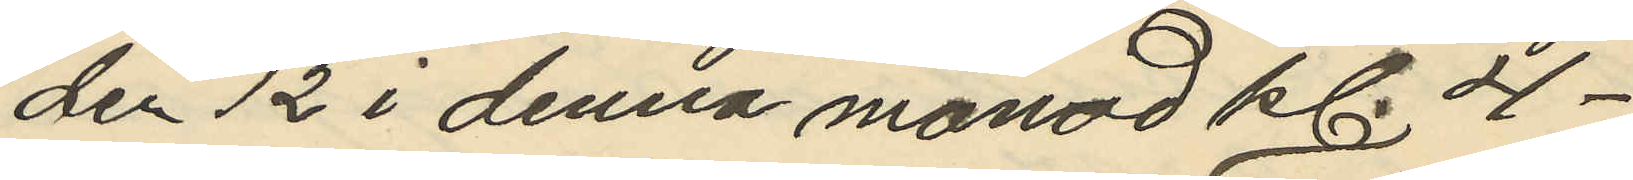den 12 i denna månad kl. 4-6
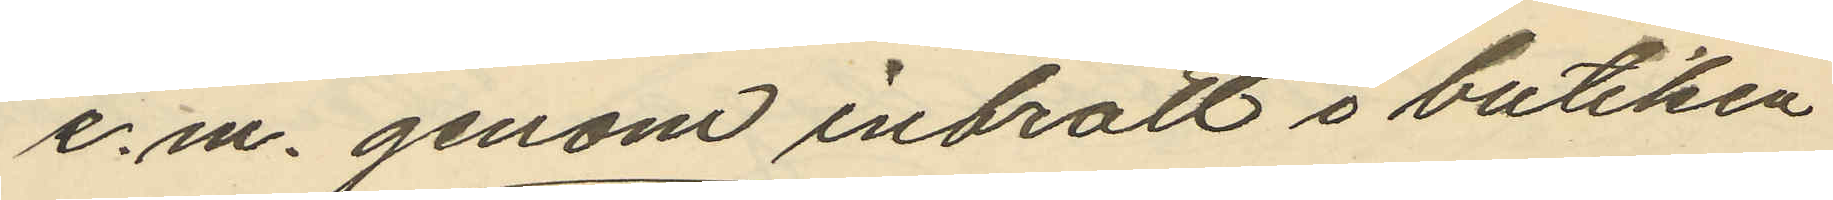e.m. genom inbrott i butiken
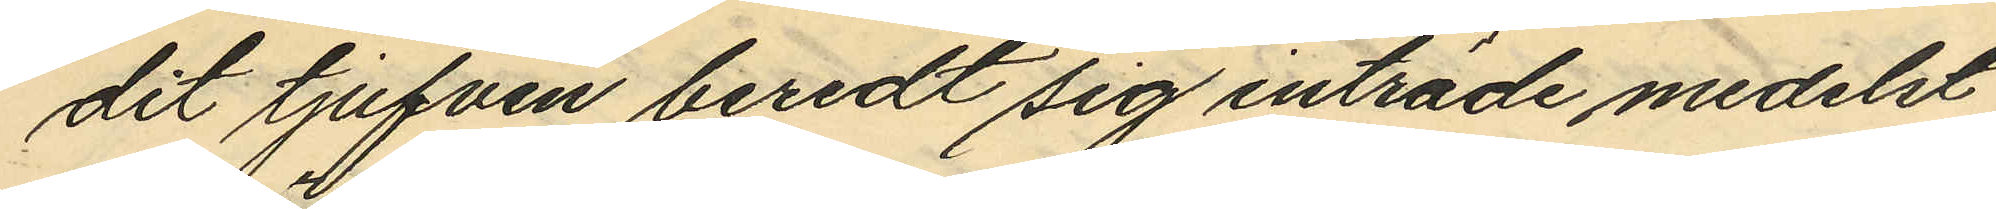dit tjufven beredt sig inträde medelst
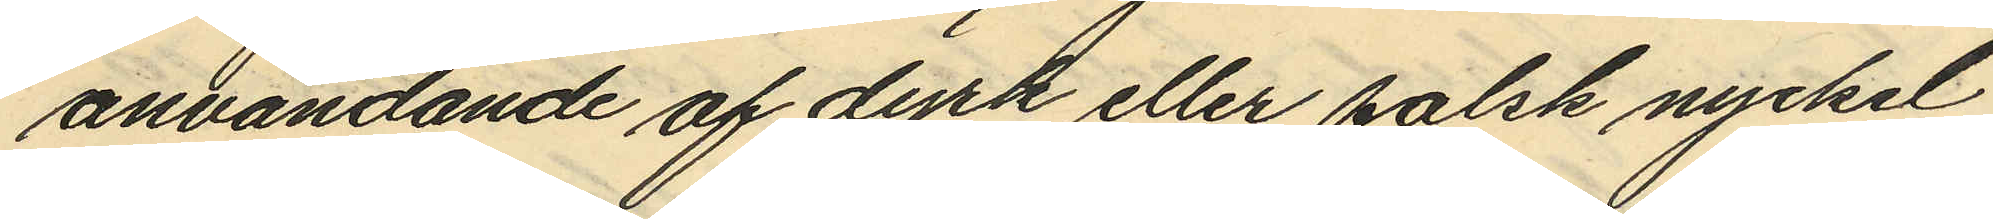användande af dyrk eller falsk nyckel
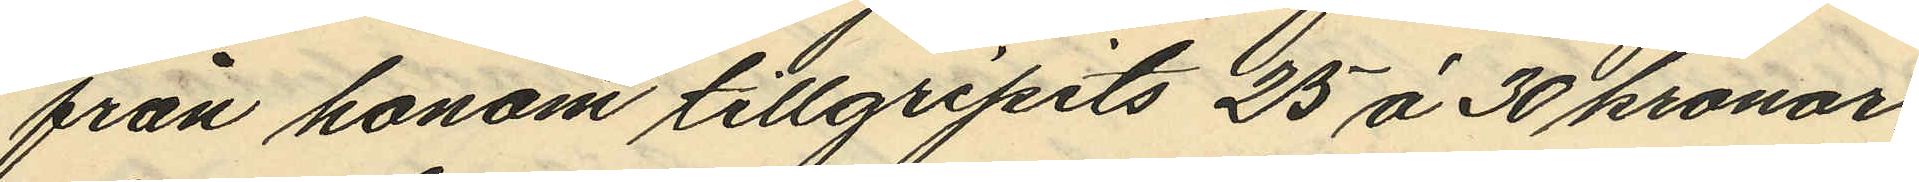från honom tillgripits 25 à 30 kronor,
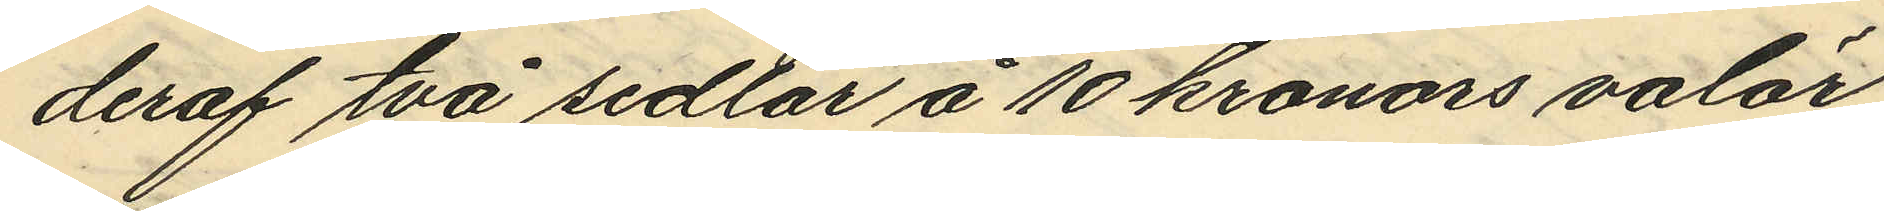deraf två sedlar å 10 kronors valör
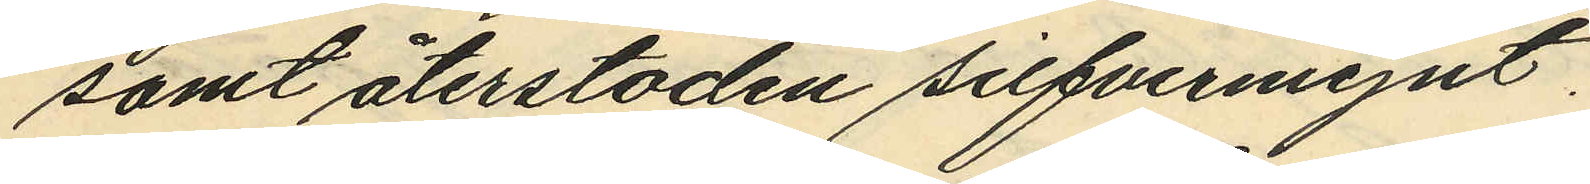samt återstoden silfvermynt.
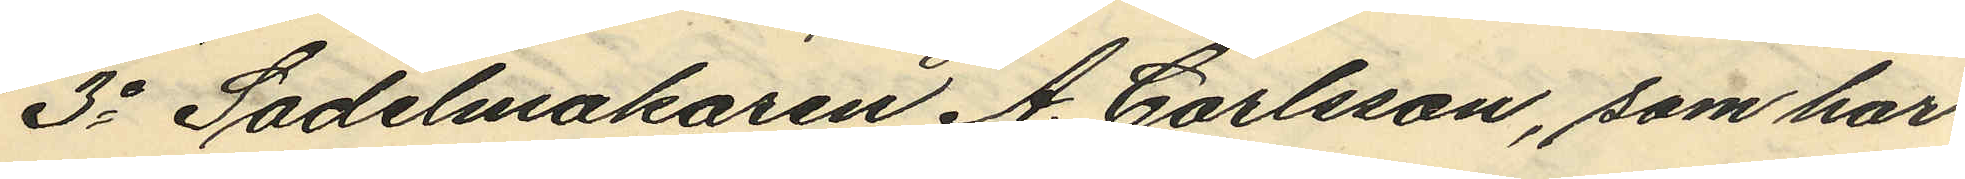3o Sadelmakaren A. Carlsson, som har
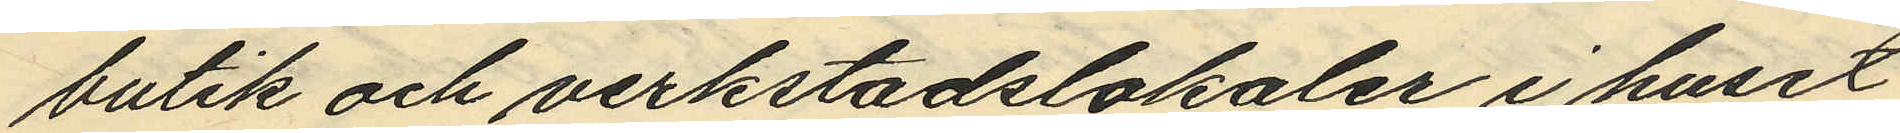butik och verkstadslokaler i huset
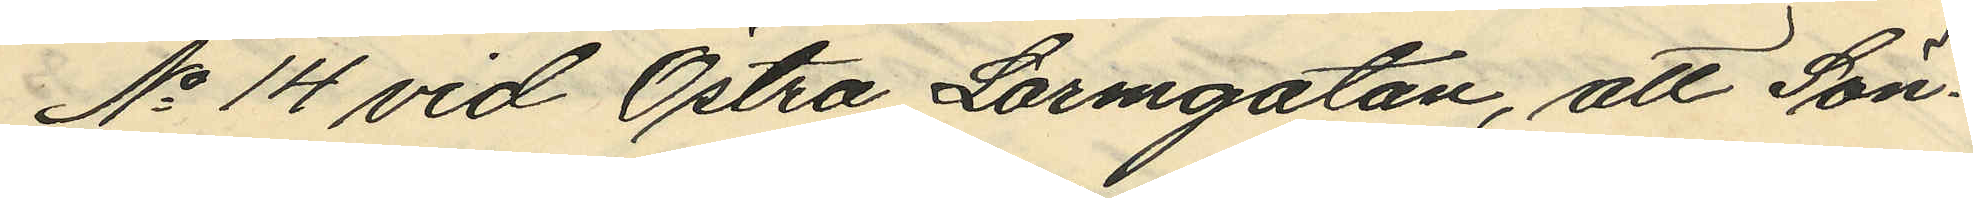No 14 vid Östra Larmgatan, att Sön¬
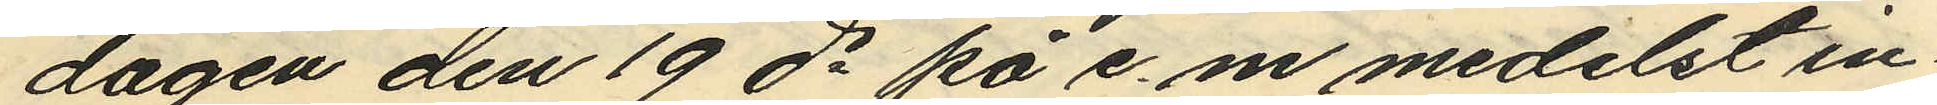dagen den 19 ds på e. m. medelst in¬
